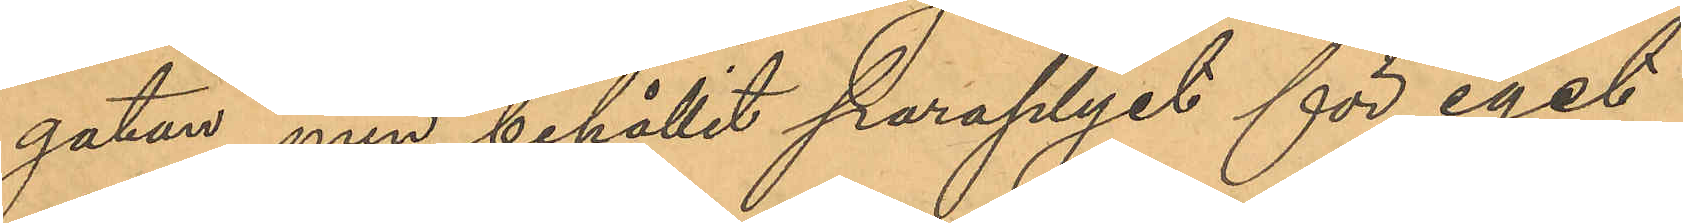gatan, men behållit paraplyet för eget
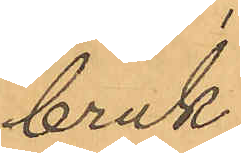bruk;
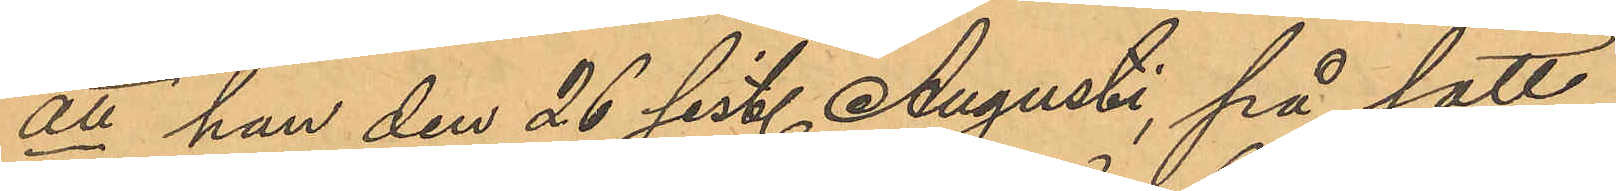att han den 26 sist. Augusti, på sätt
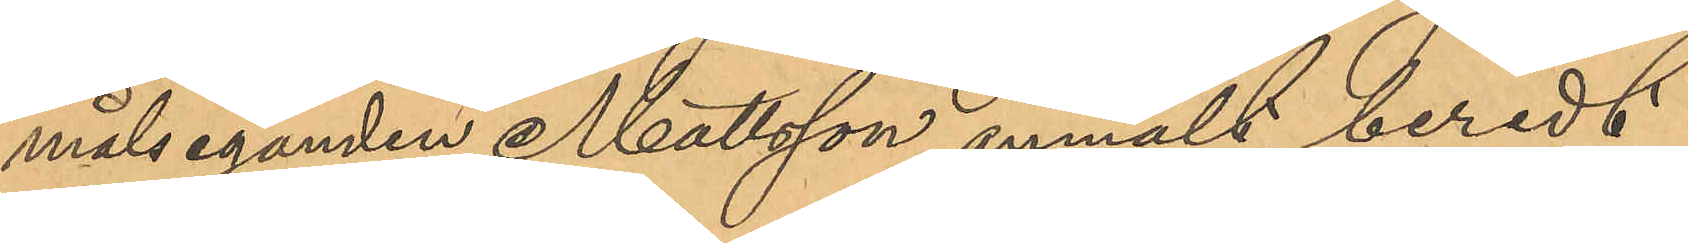målseganden Mattsson anmält, beredt
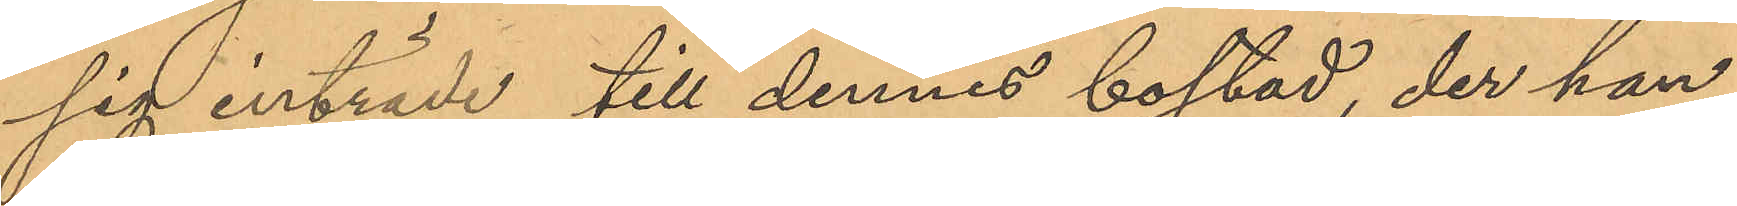sig inträde till dennes bostad, der han
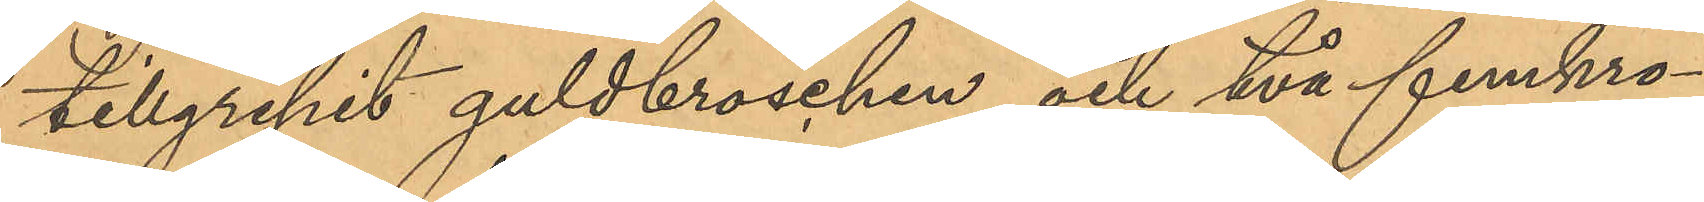tillgripit guldbroschen och två femkro¬
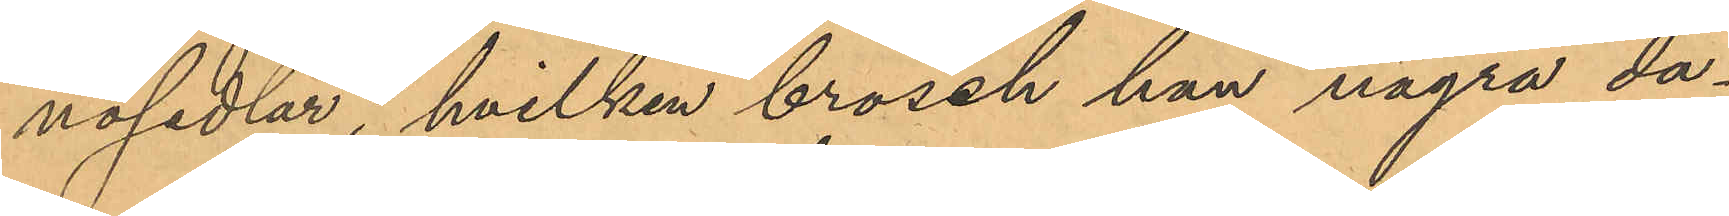nosedlar, hvilken brosch han några da¬
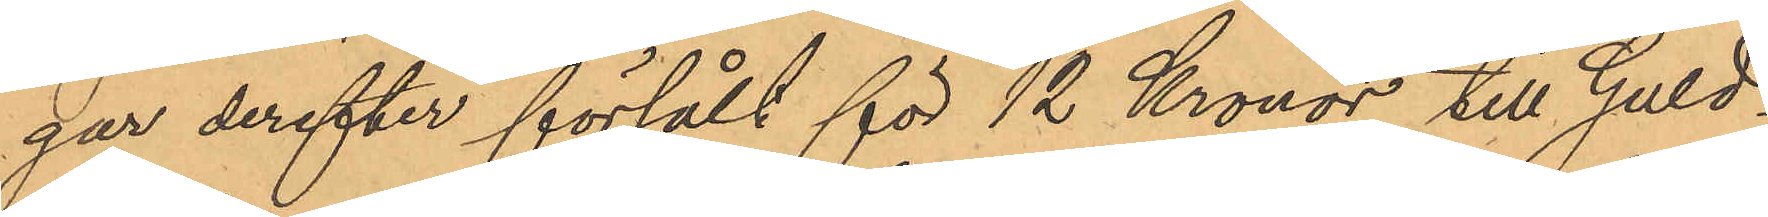gar derefter försålt för 12 Kronor till Guld¬
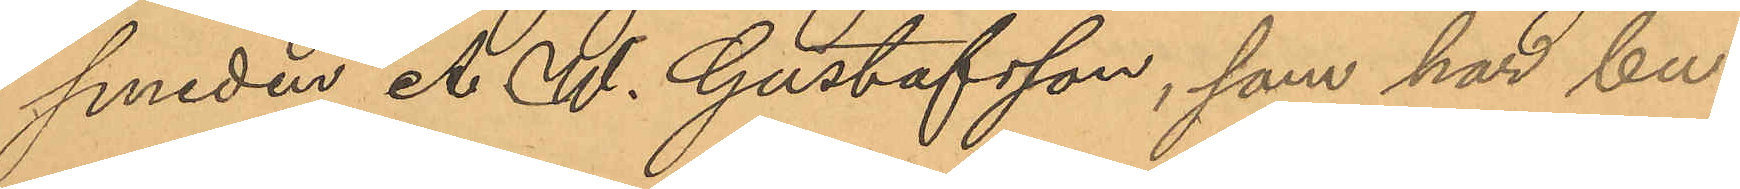smeden A. W. Gustafsson, som har bu¬
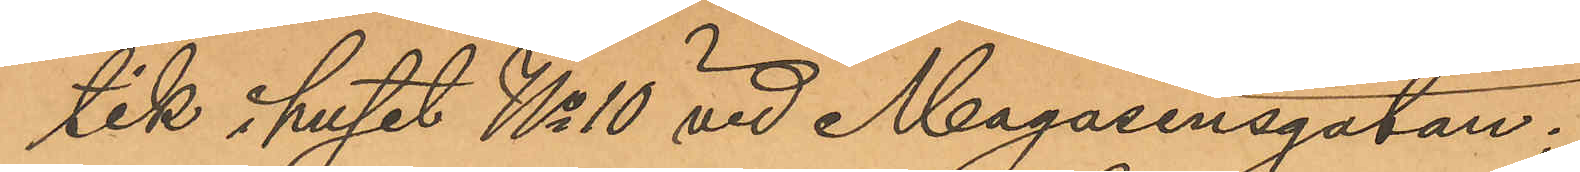tik i huset No 10 vid Magasinsgatan;
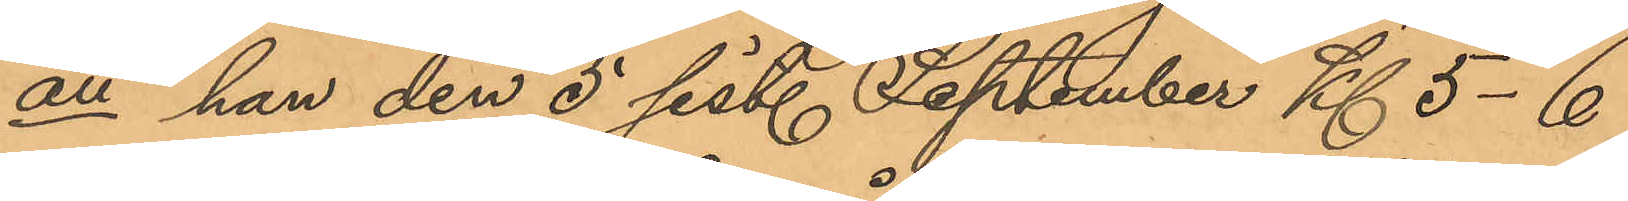att han den 5 sist. September Kl. 5-6
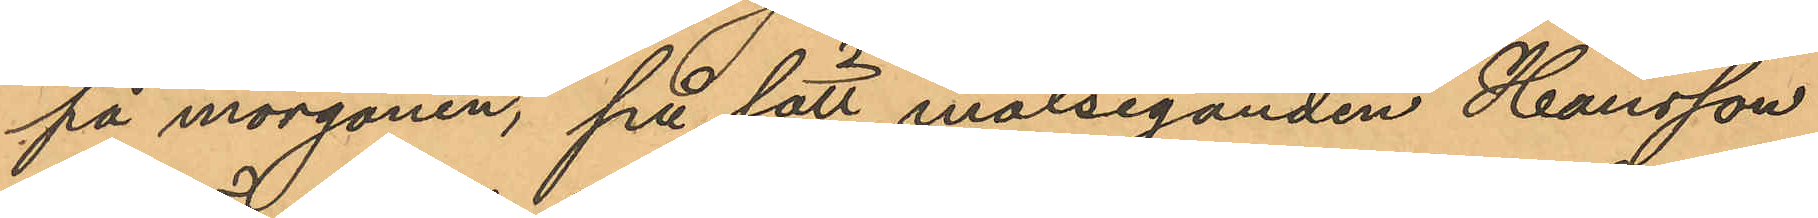på morgonen, på sätt målseganden Hansson
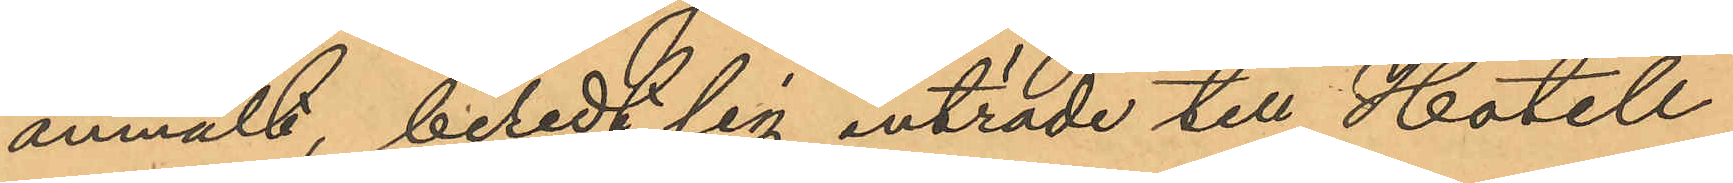anmält, beledt sig inträde till Hotell
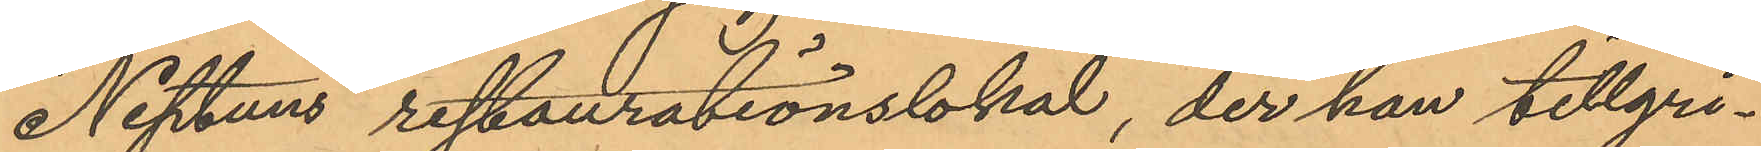Neptuns restaurationslokal, der han tillgri¬
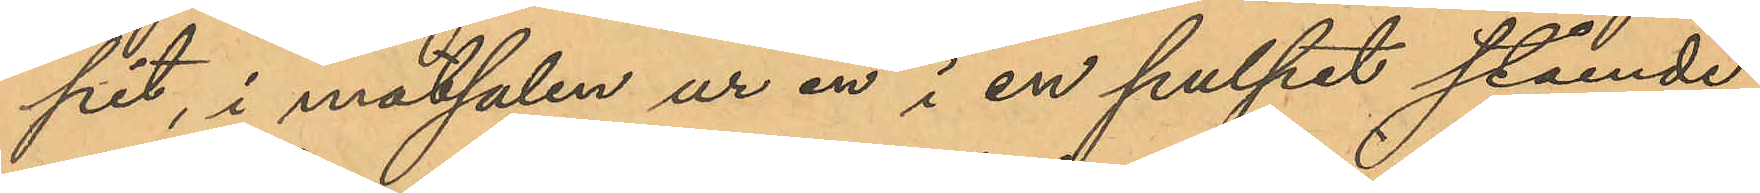pit, i matsalen ur en i en pulpet stående
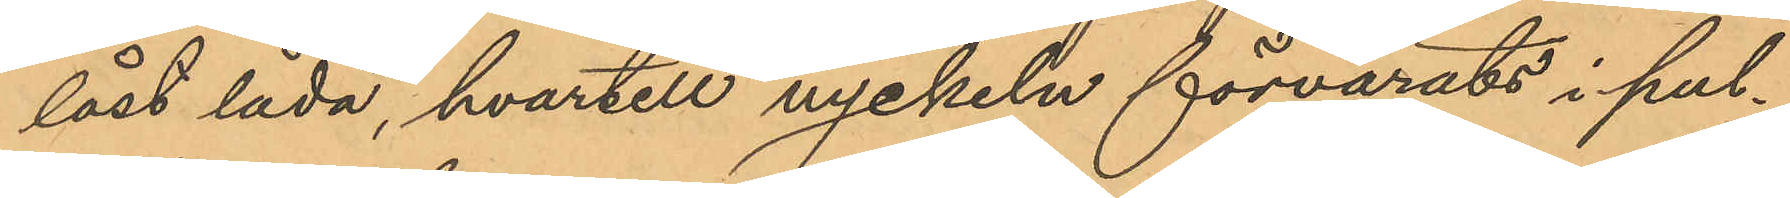låst låda, hvartill nyckeln förvarats i pul¬
